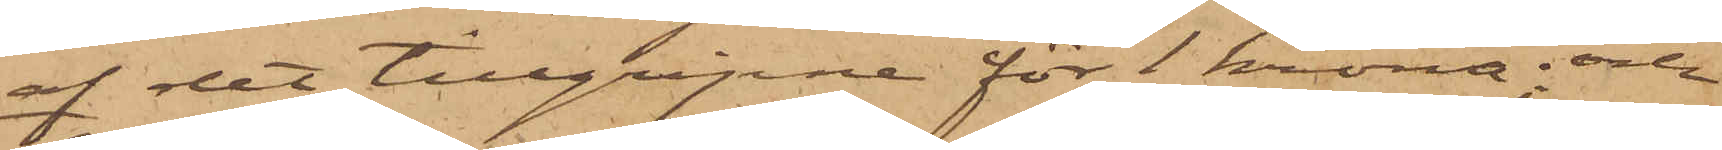af det tillgripne för 1 krona; och
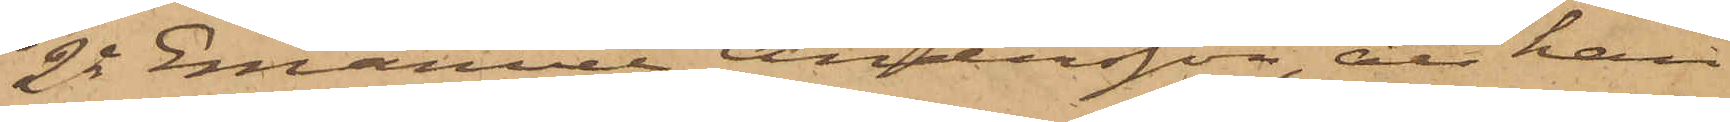2o Emanuel Andersson, att han
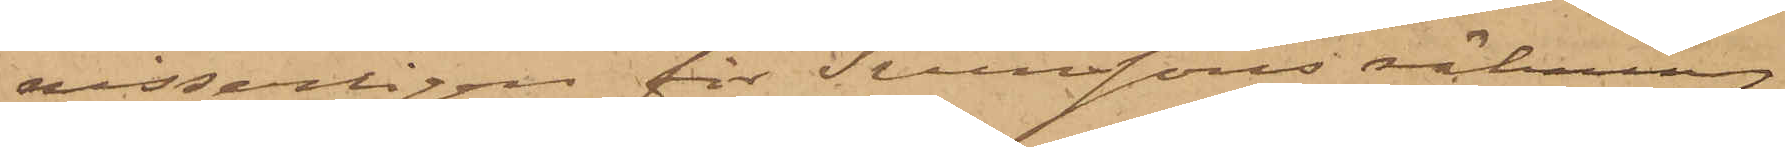visserligen för Svenssons räkning
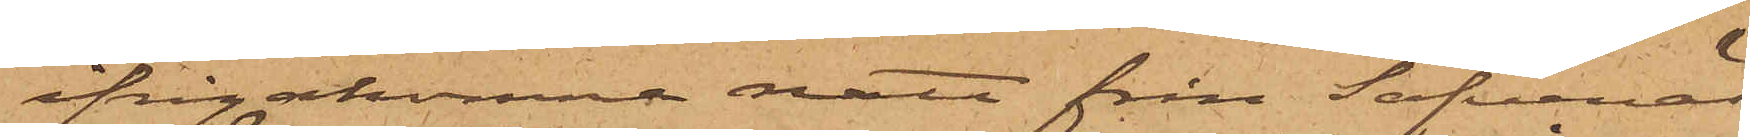ifrågakomne natt från Säfvenäs
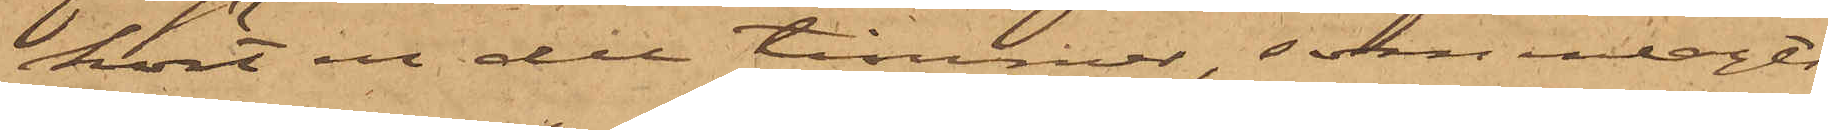kört en del timmer, som inlagts
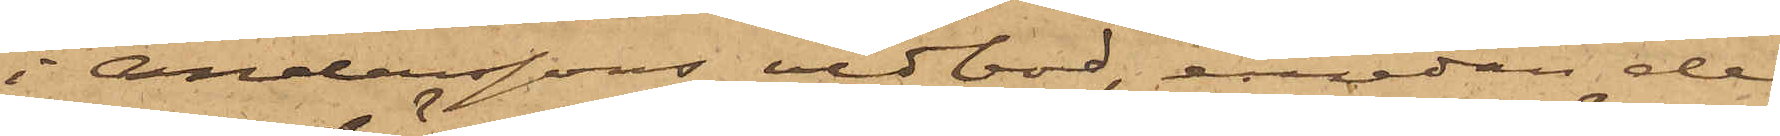i Anderssons vedbod, emedan de
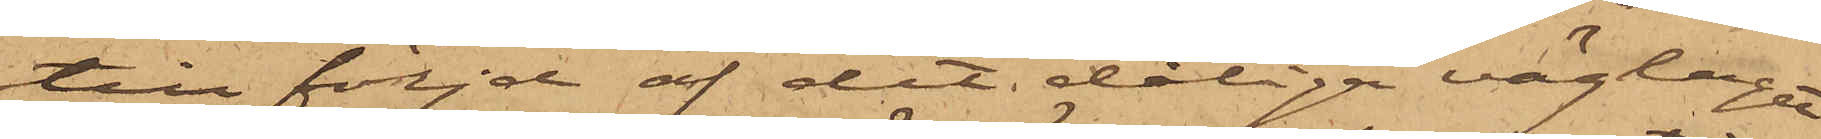till följd af det dåliga väglaget
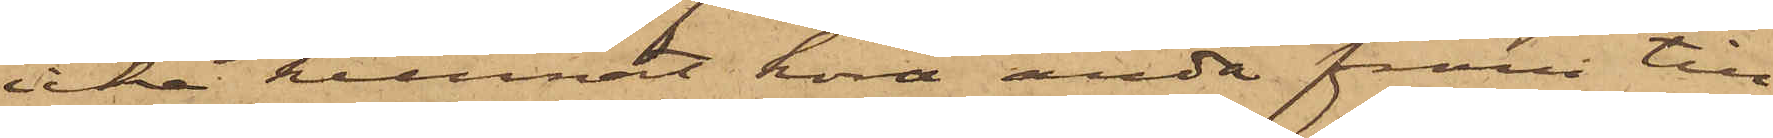icke kunnat köra ända fram till
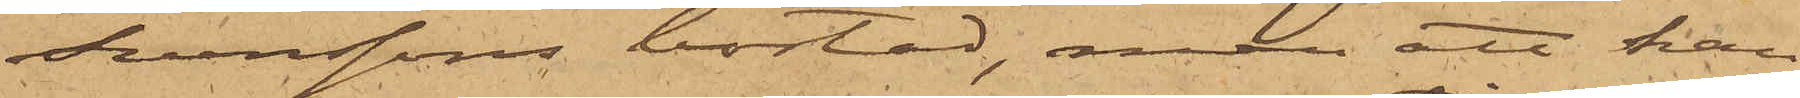Svenssons bostad, men att han
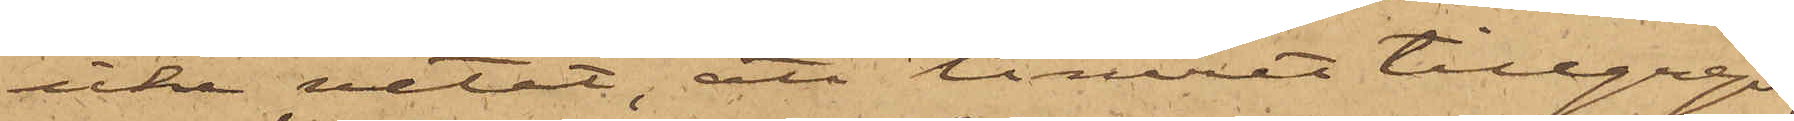icke vetat, att timret tillgreps,
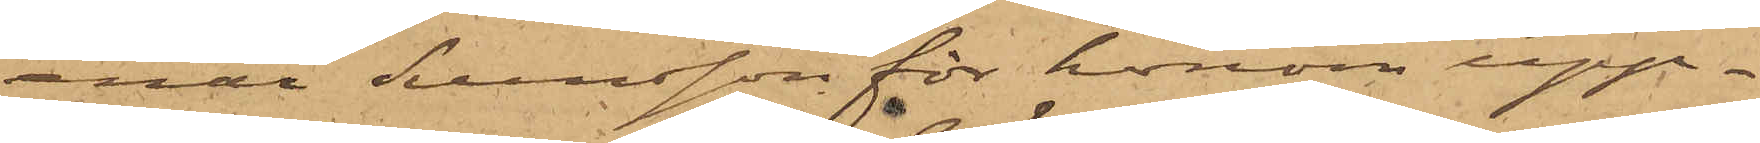enär Svensson för honom upp¬
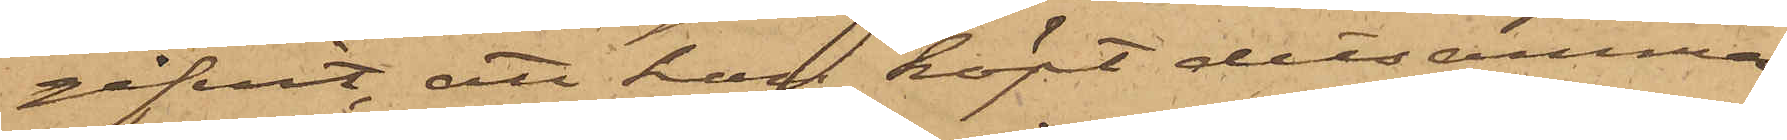gifvit, att han köpt detsamma;
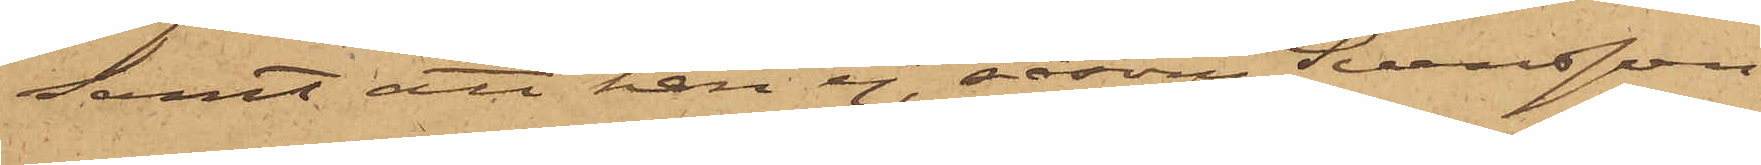samt att han ej, såsom Svensson
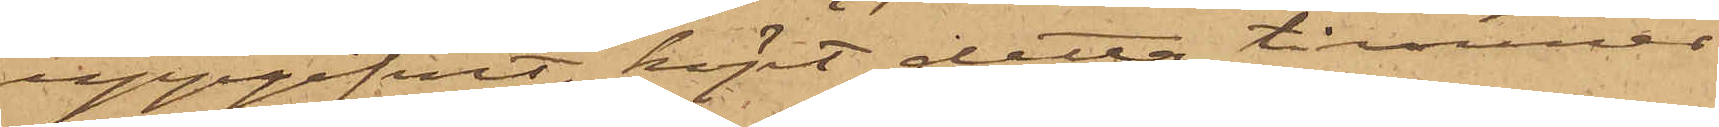uppgifvit, köpt detta timmer
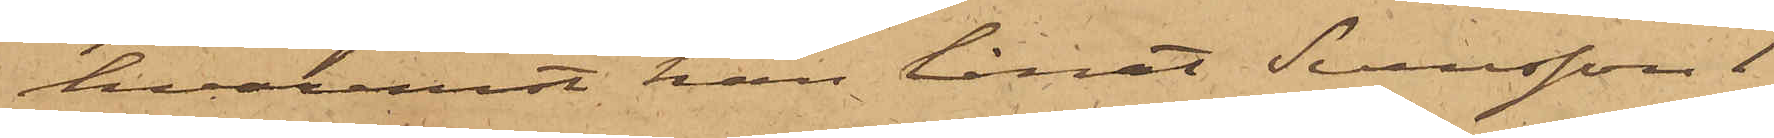hvaremot han lånat Svensson 1
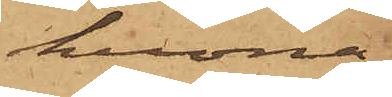krona.
